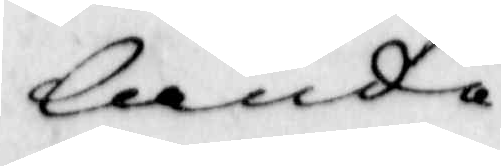lande
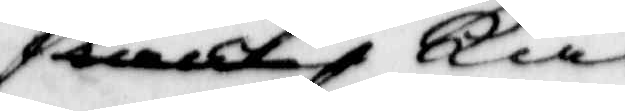kan kan
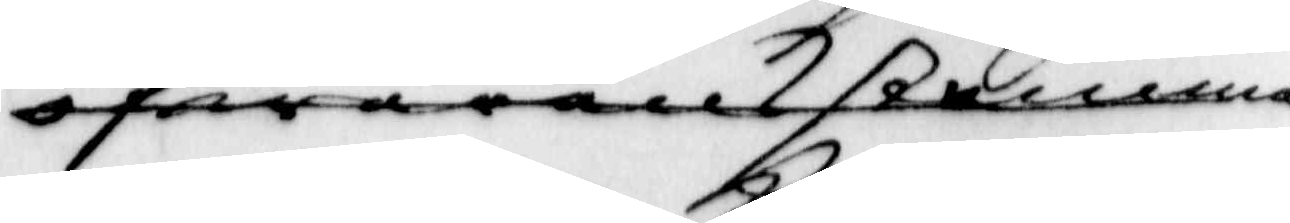ofwerenstemma
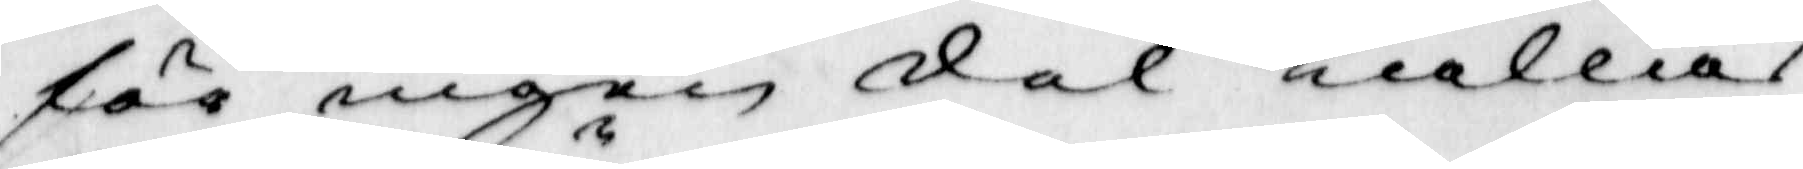för ingen del kallas
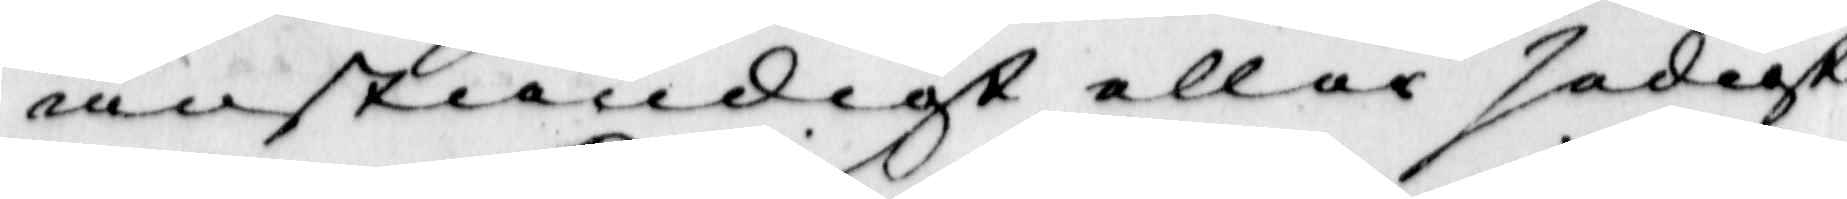anständigt eller sedigt
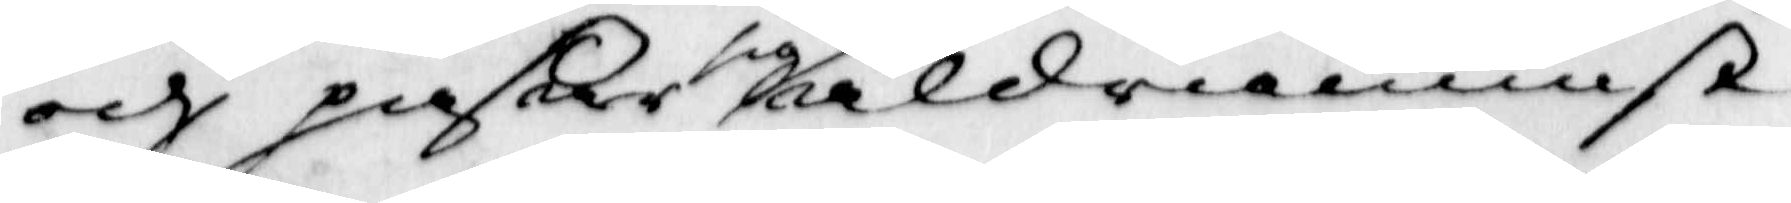och paßar sig aldraminst
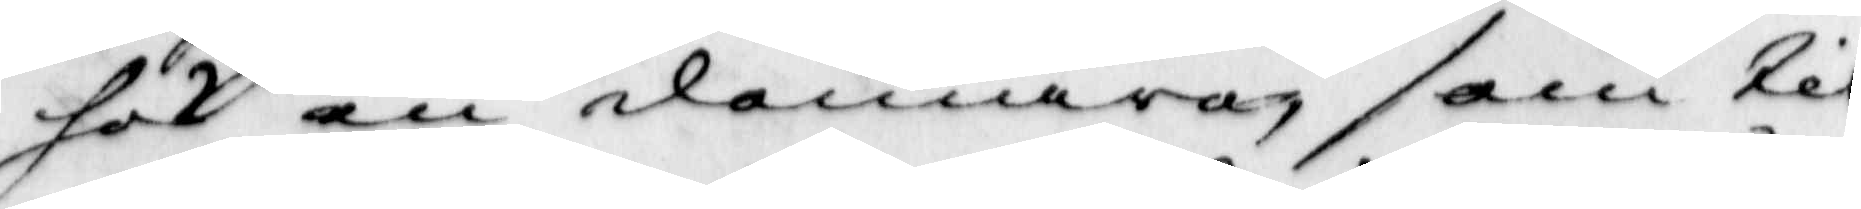hos en domare som til
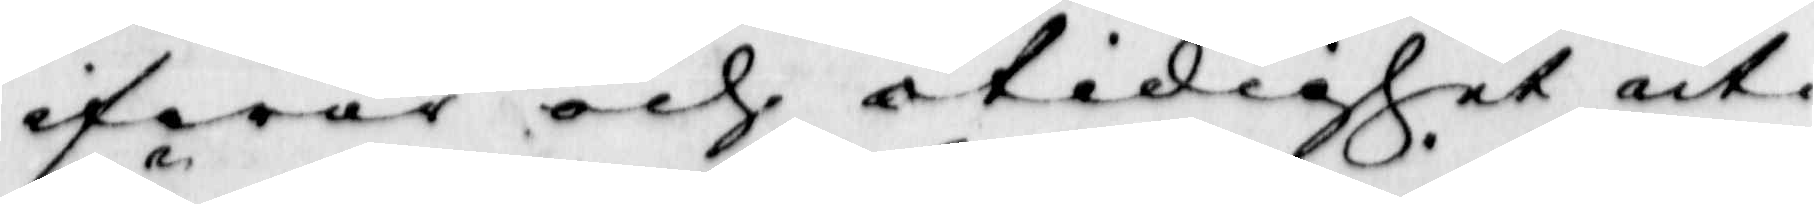ifwer och otidigher uti
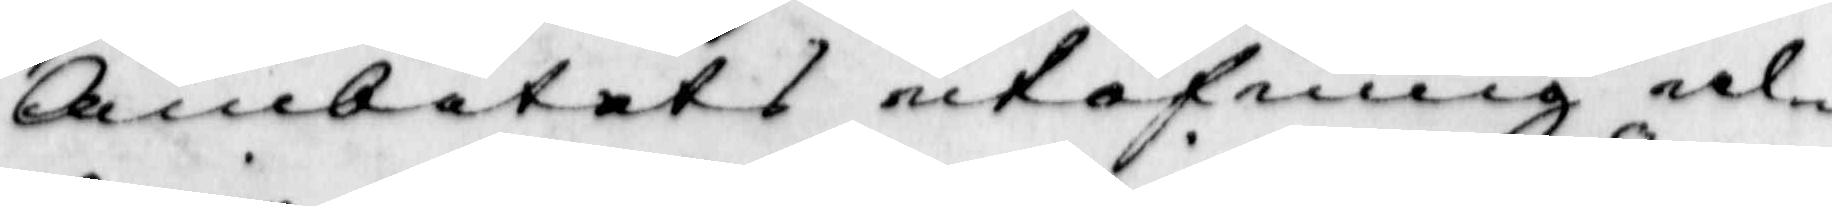Ämbetet s utöfning al¬
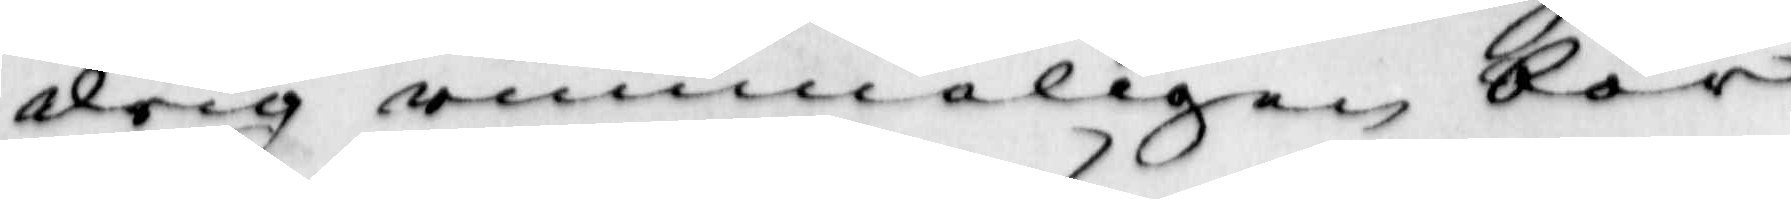drig winneligen bör
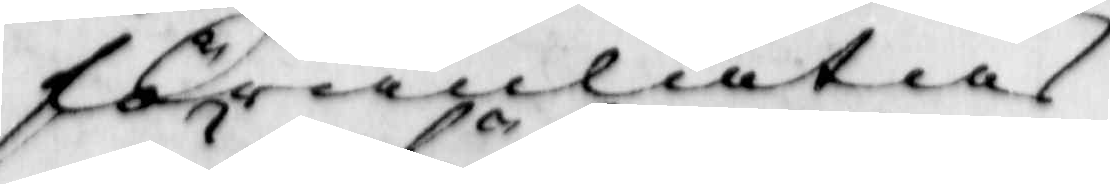föranlåtas.
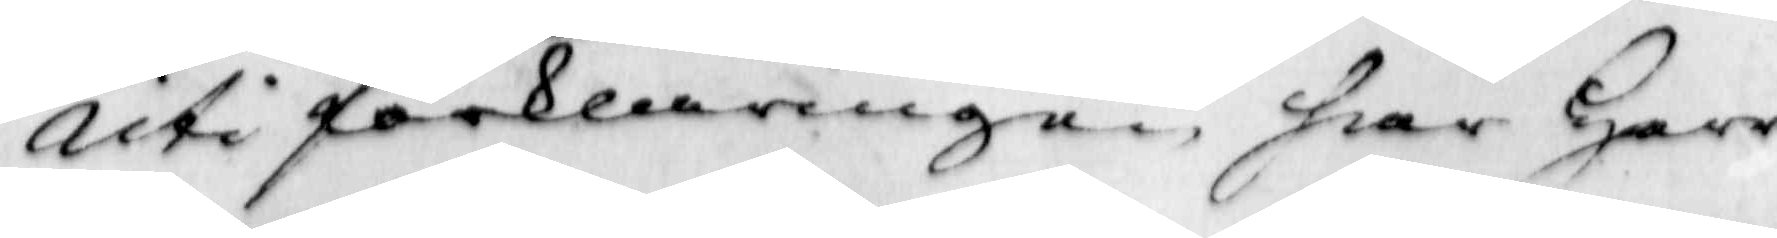Uti förklaringen har Herr
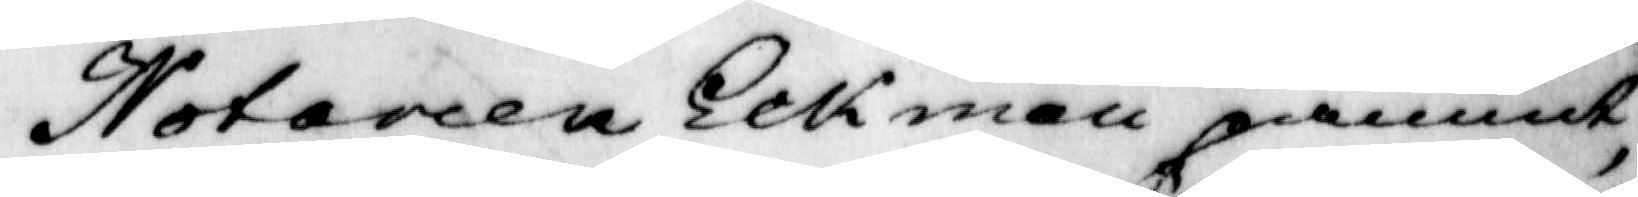Notarien Eckman påmint
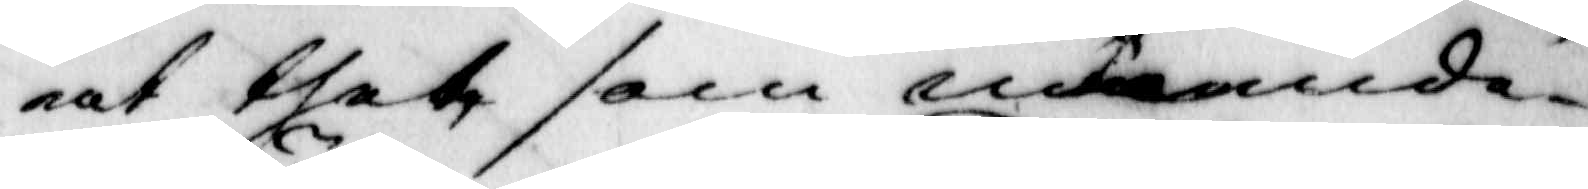at thet som nämde¬
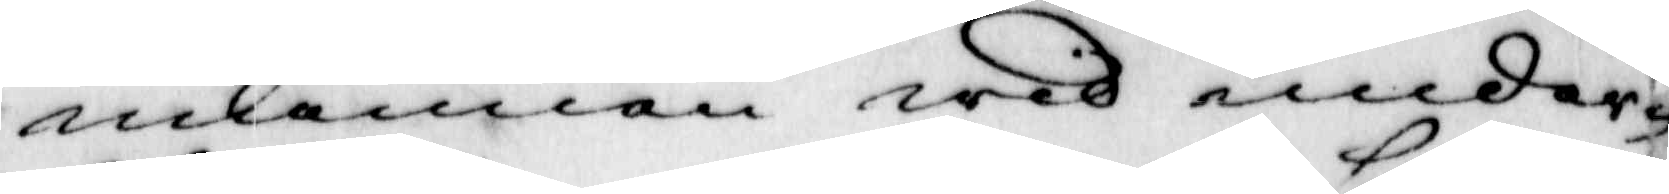männen wid under¬
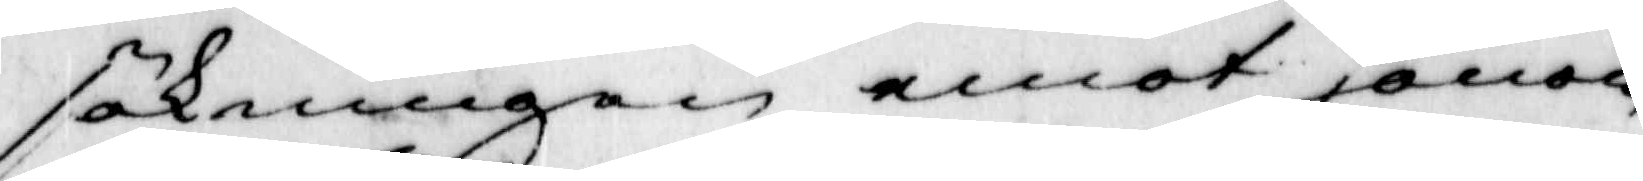sökningen emot honom
